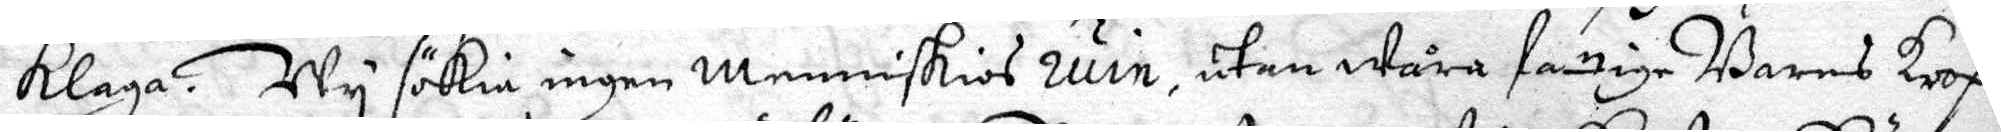klaga. Wy sökie ingen menniskios ruin, utan Wåra fattige Barns Krop¬
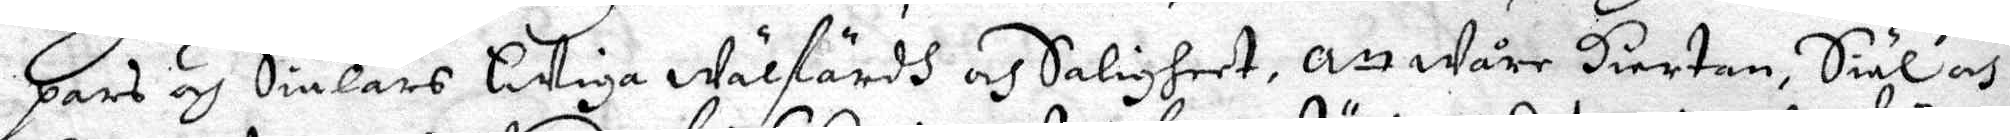pars och Sielars Ewiga Wälfärdh och Saligheet, Att wåre Hiertan, Siäl och
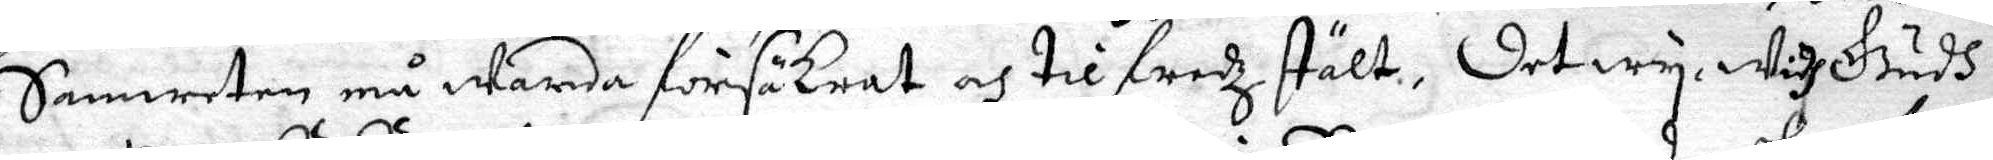Samweten må warda försäkrat och tilfredz stält, Det wy widh Gudh
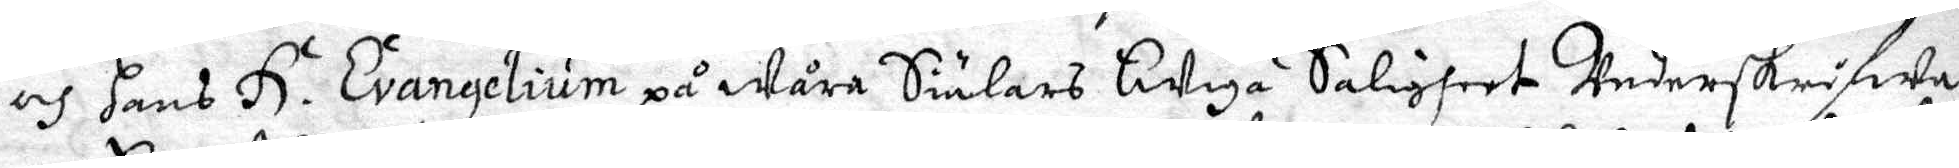och hans H. Evangelium på Wåra Siälars Ewiga Saligheet Underskrifwa
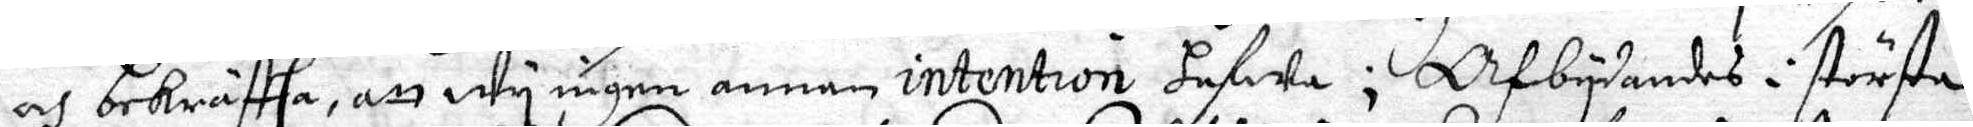och bekrästha, att wy ingen annan intention hafwa; Afbydandes i största
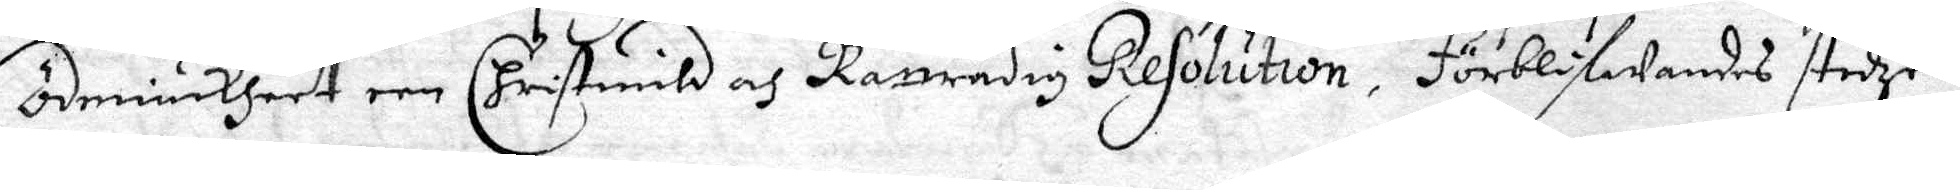ödmiukheet een Christmild och Rättrådig Resolution, förblifwandes stedze
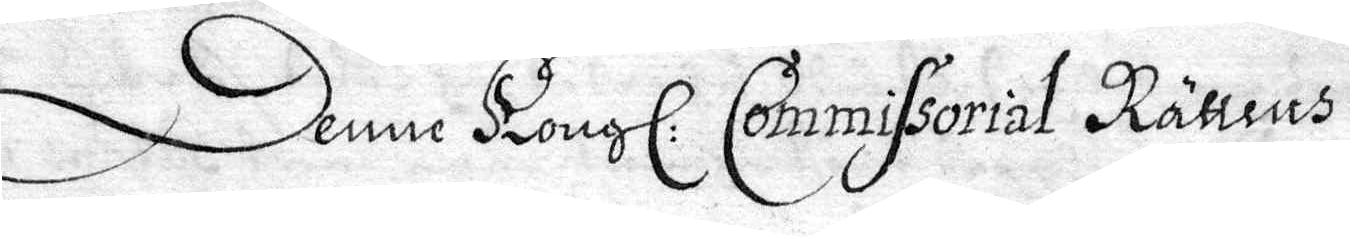Denne Kongl: Commissorial Rättens
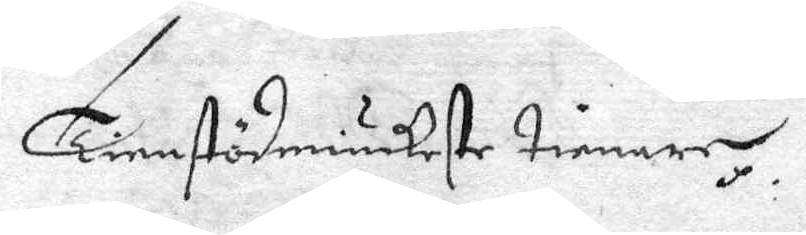Tienstödmiukeste tienare.
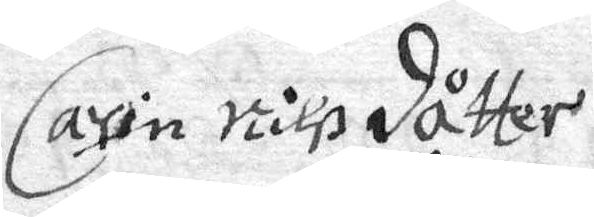Carin Nilß dåtter
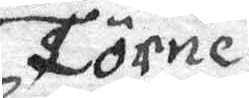Törne
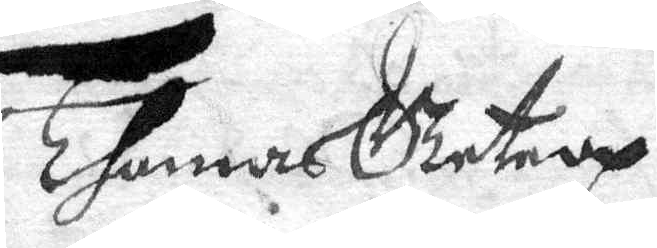Thomes Betrop
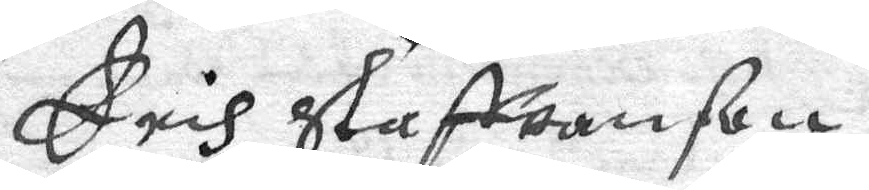Erich Staffwanson
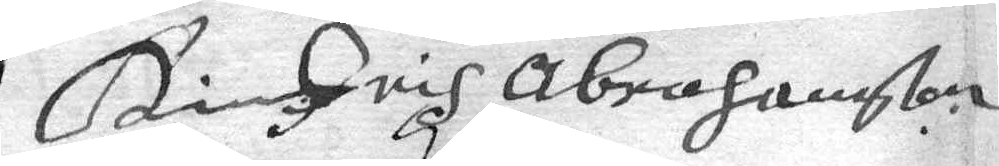Hindrich Abrahamsson
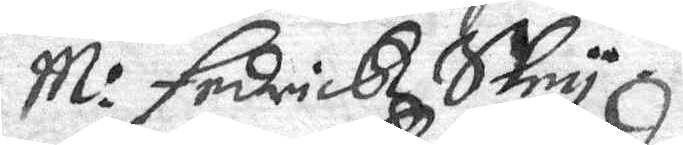M: Fedrick Shny
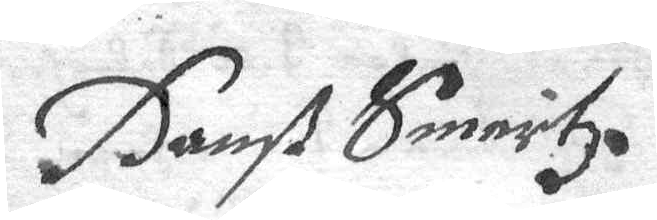Hanß Smertz
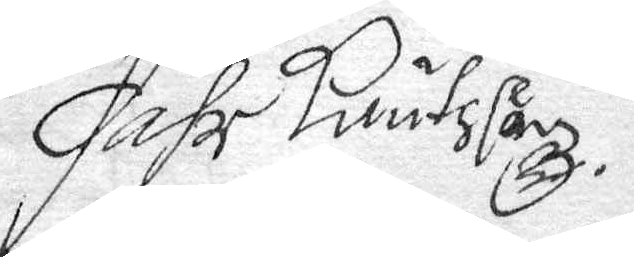Pähr Knutsson
